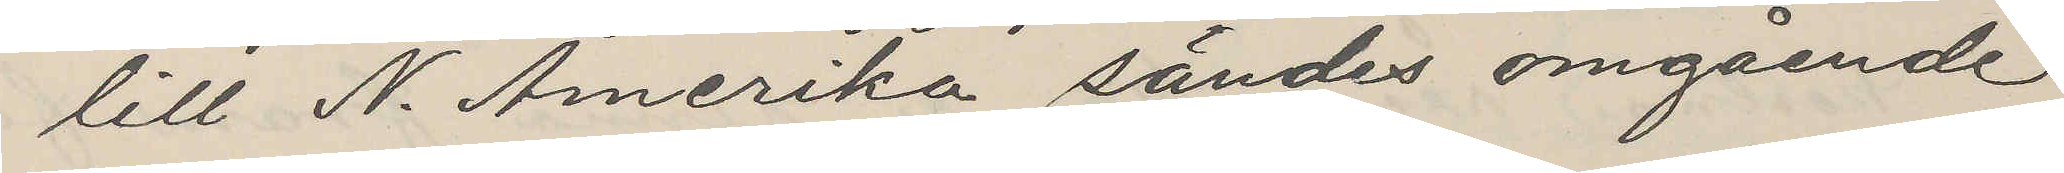till N. Amerika sändes omgående
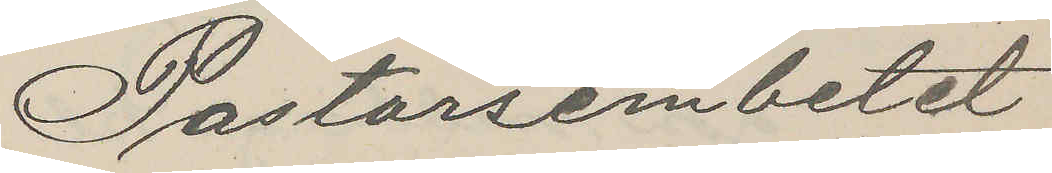Pastorsembetet
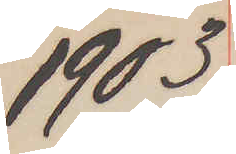1903
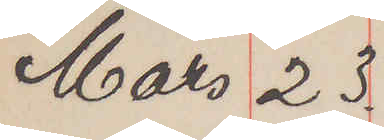Mars 23.
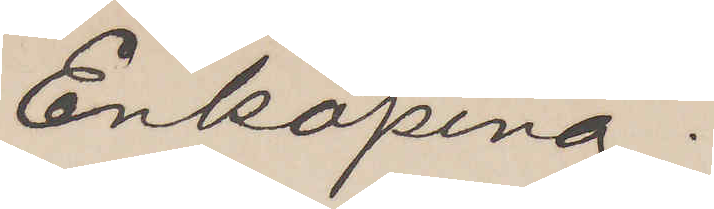Enköping.
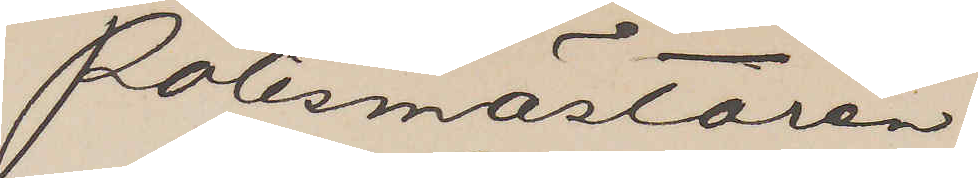Polismästaren
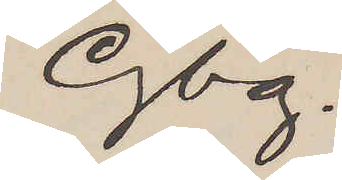Gbg.
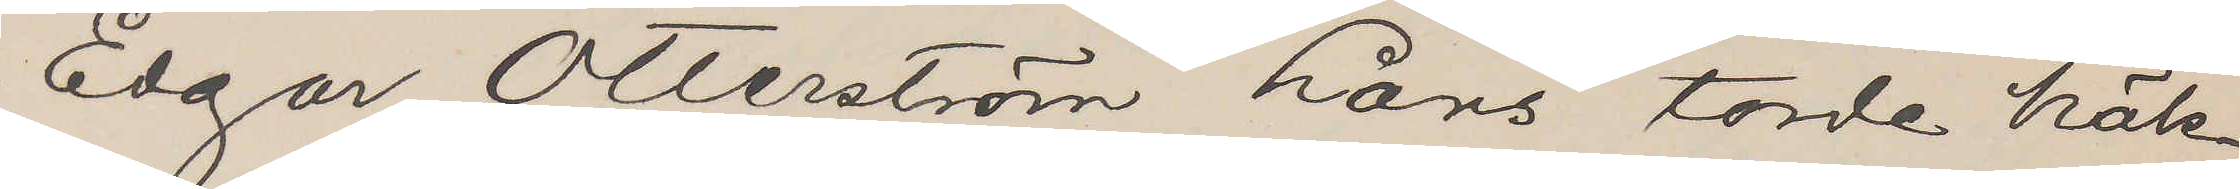Edgar Otterström Lans torde häk¬
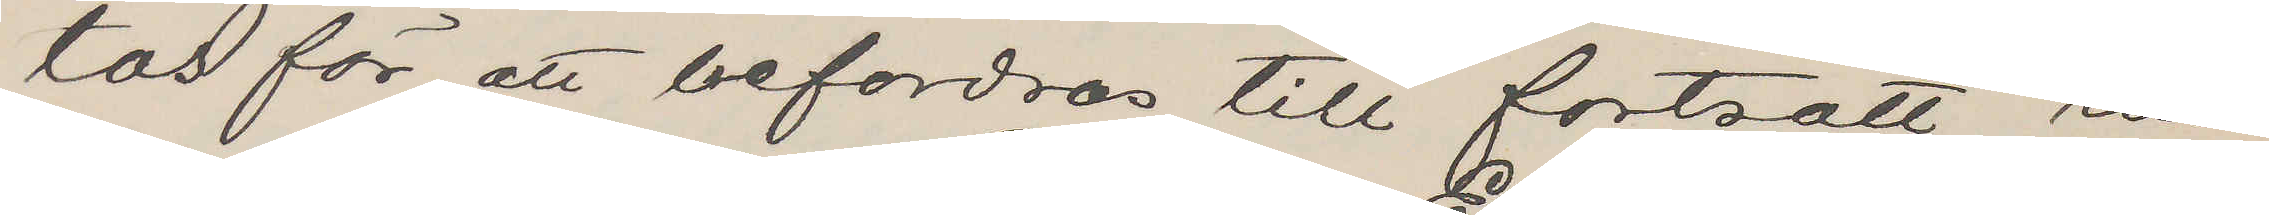tas för att befordras till fortsatt ran¬
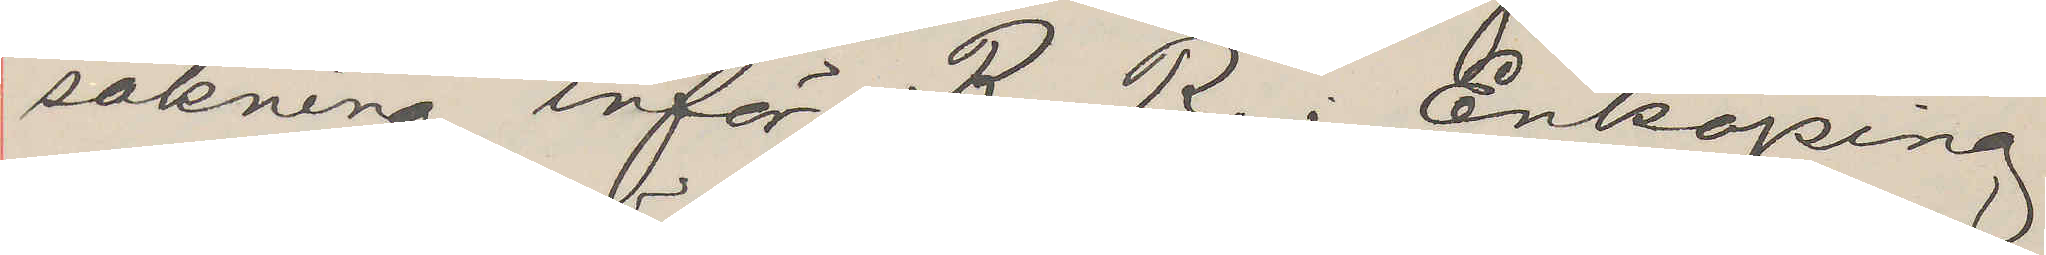sakning inför R. R. i Enköping
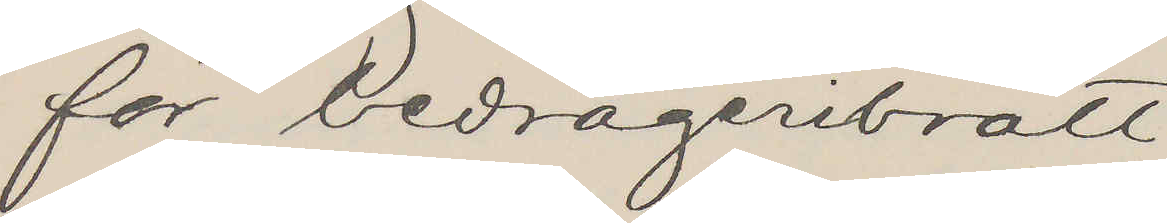för bedrägeribrott
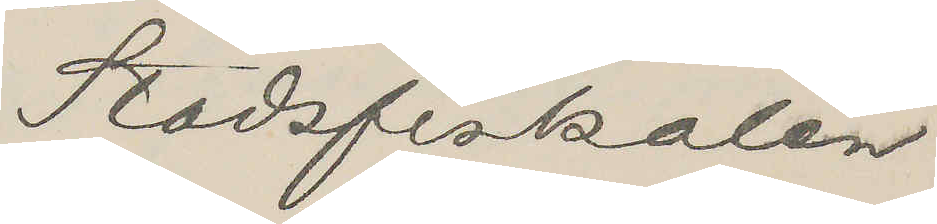Stadsfiskalen
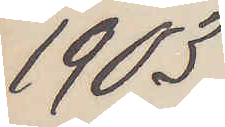1903
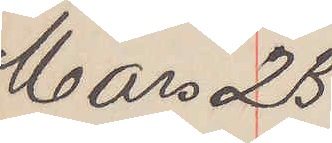Mars 23
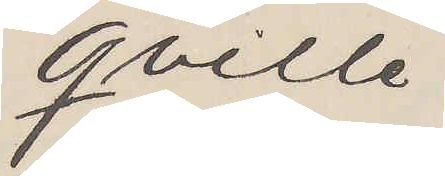Qville
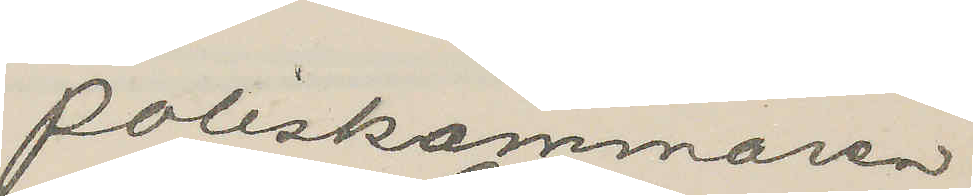Poliskammaren
